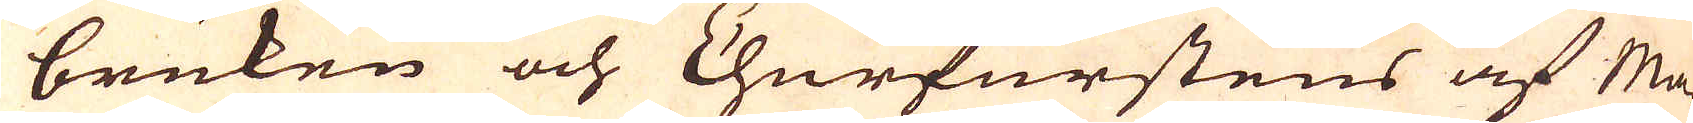bruken och Churfurstens af Ma-
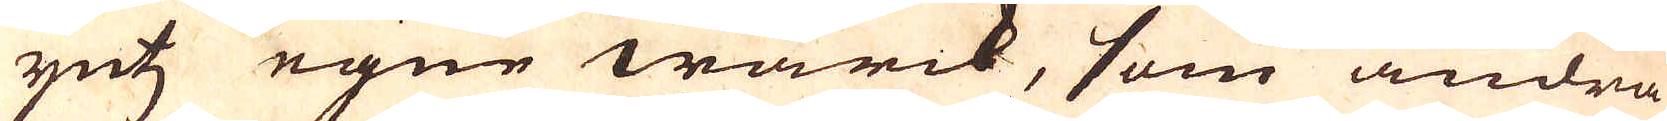yntz egne wärck, som andra
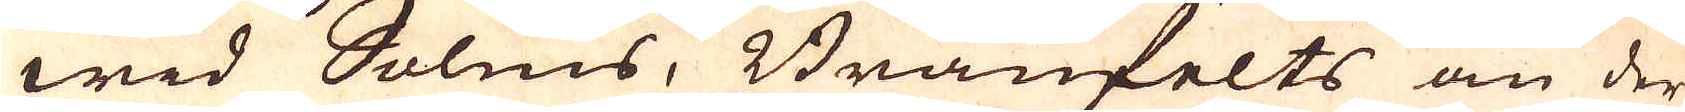wid Solms, Bränfelts an der
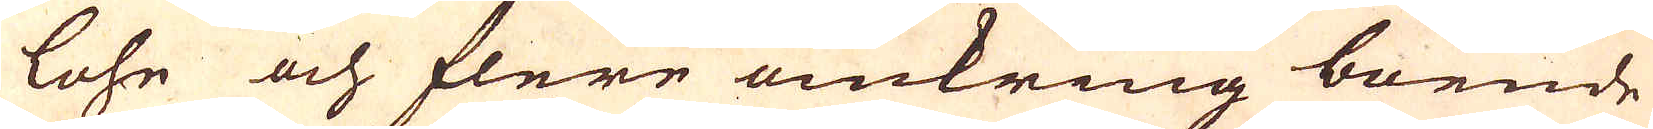lohe och flere omkring boende
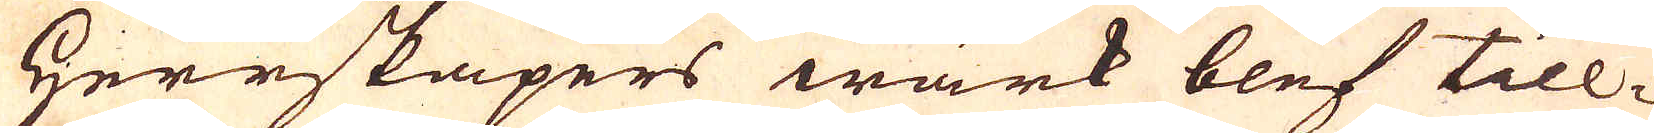Herrskapers wärk blef till-
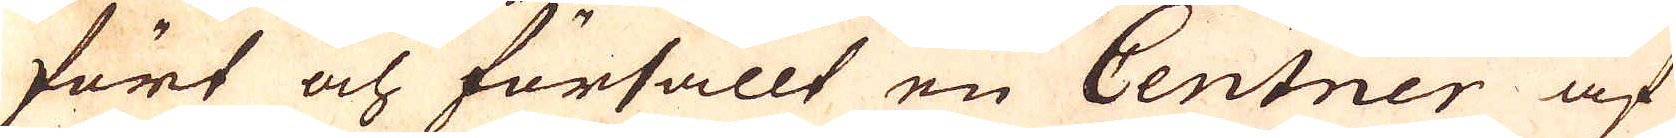fört och försållt en Centner af
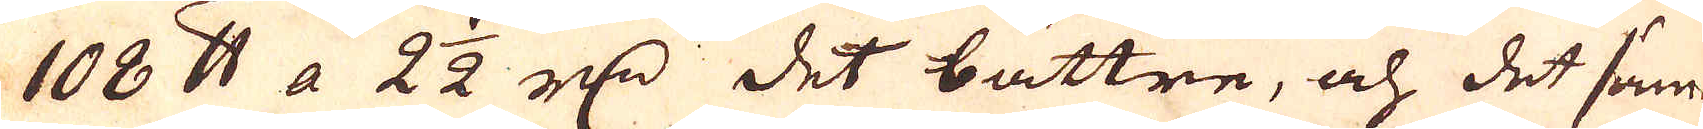108 skålpund a 2 1/2 r:dr det bättre, och det säm-
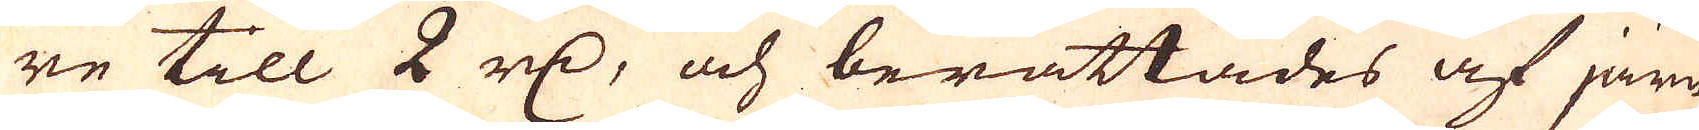re till 2 r:dr, och berättades af järn-
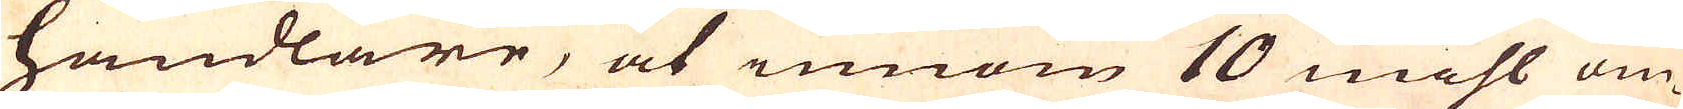handlare, at innom 10 mihls om-
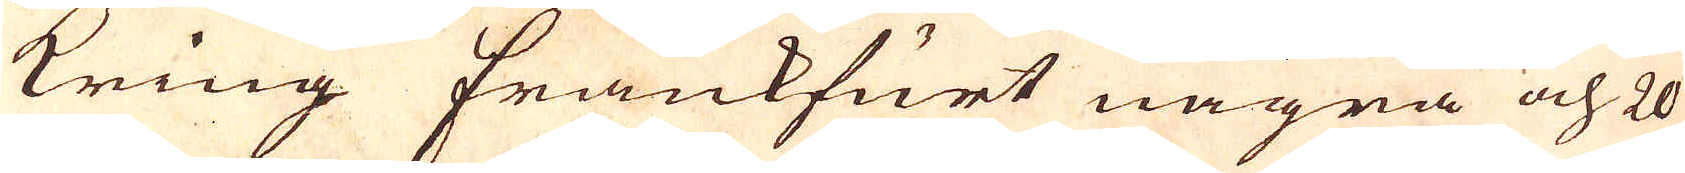kring Frankfurt några och 20
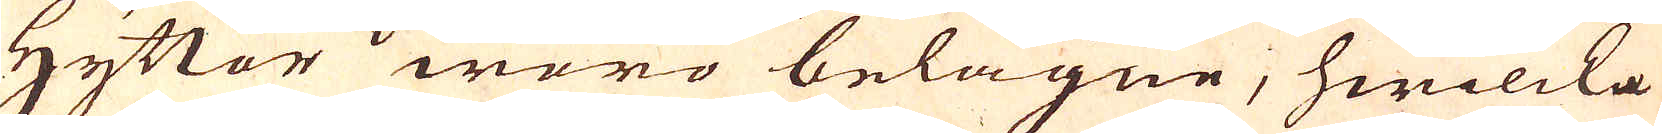Hyttor woro belägne, hwilcka
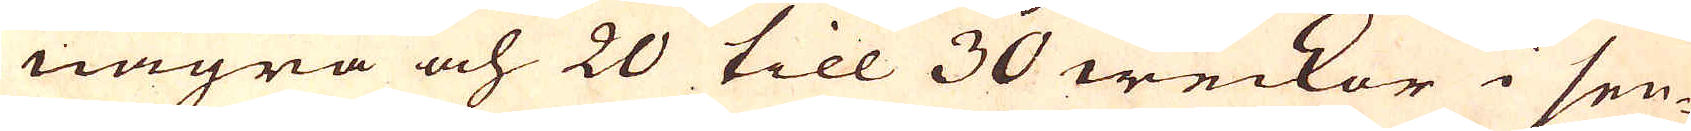några och 20 till 30 weckor i sen-
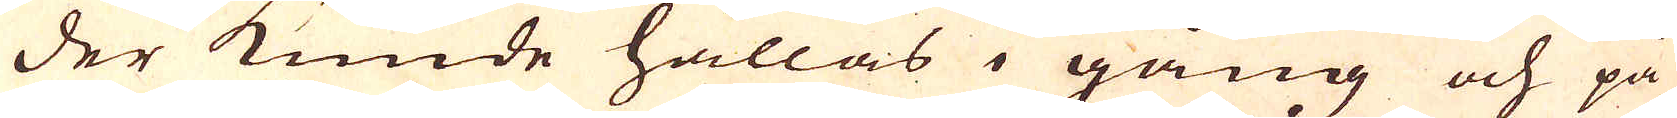der kunde hållas i gång och på
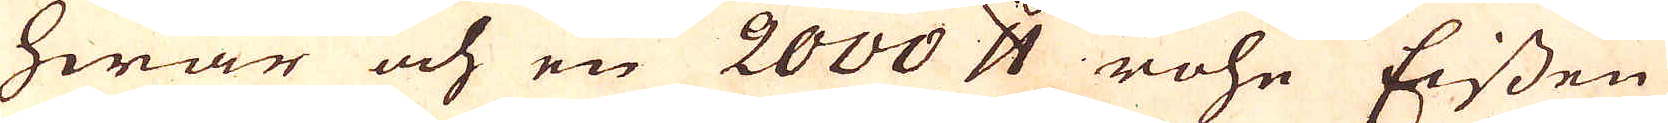hwar och en 2000 skålpund rohe Eissen
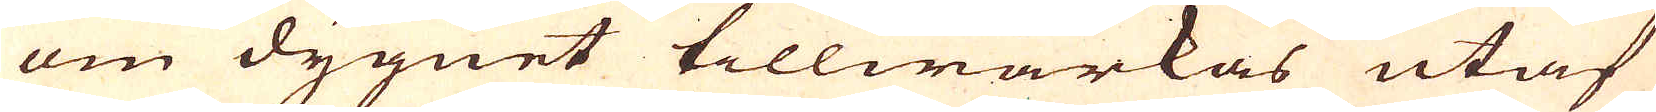om dygnet tillwärkas utaf
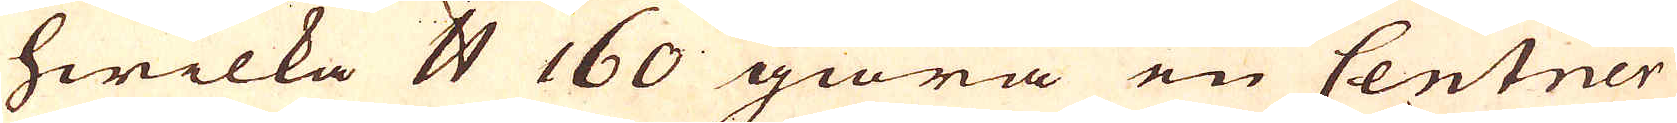hwilka skålpund 160 giöra en Centner
